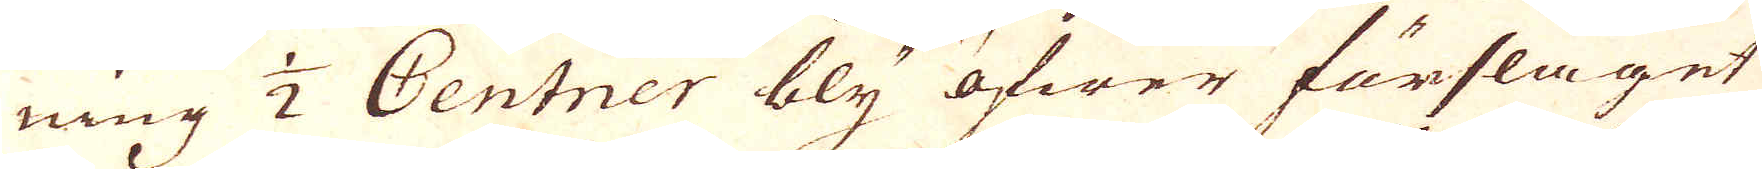ning 1/2 Centner bly öfwer förslaget
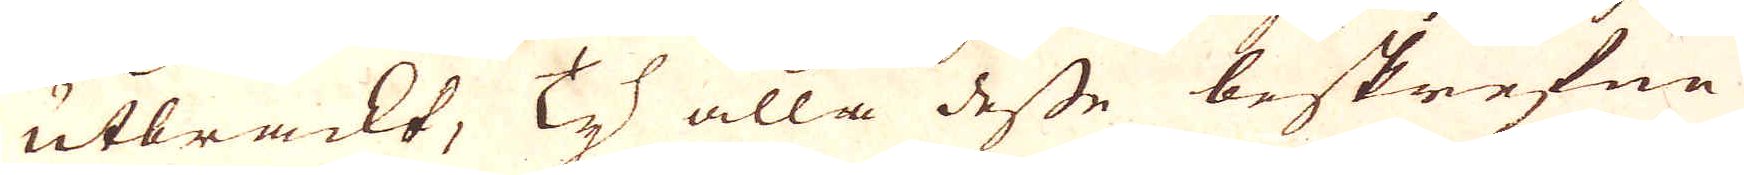utbrackt, Ty alla desse beskrefne
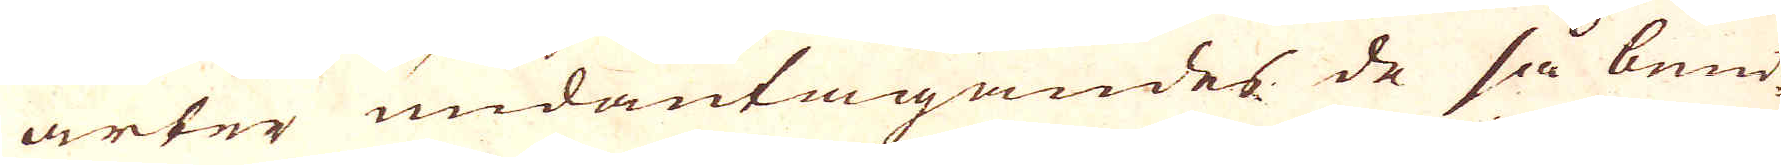arter undantagandes de så bend
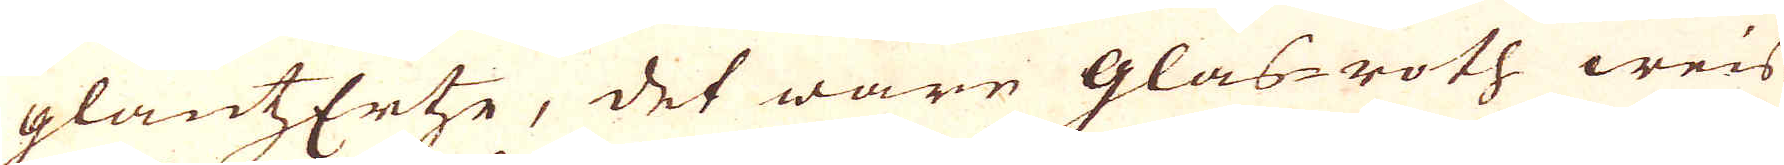glantzErtse, det ware Glas-roth weis-
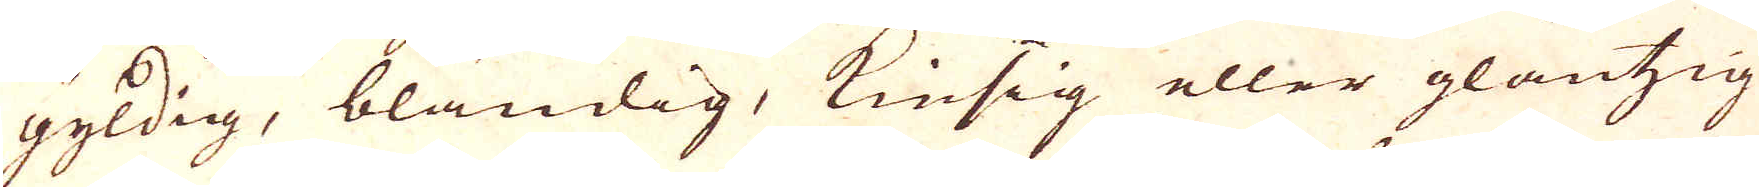gyldig, bländig, Kiesig eller glantzig
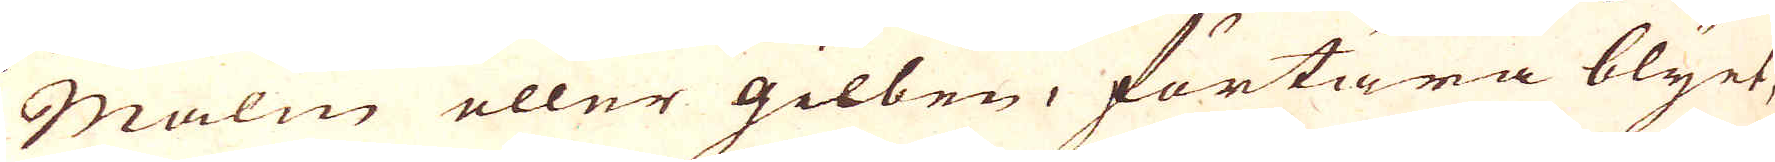Malm eller gilben, förtära blyet,
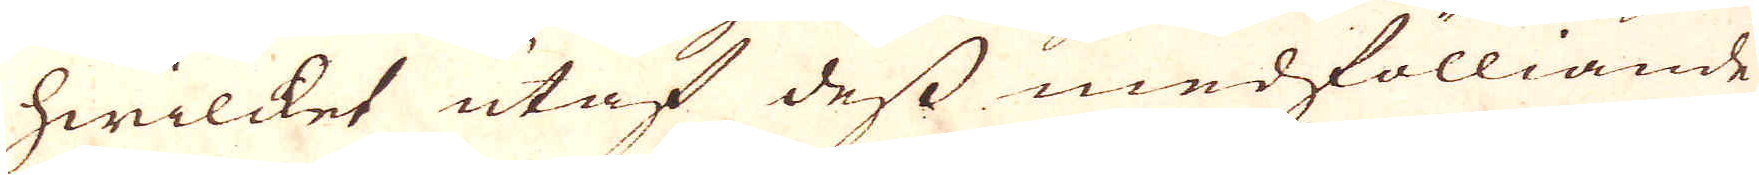hwilcket utaf dess medfölliande
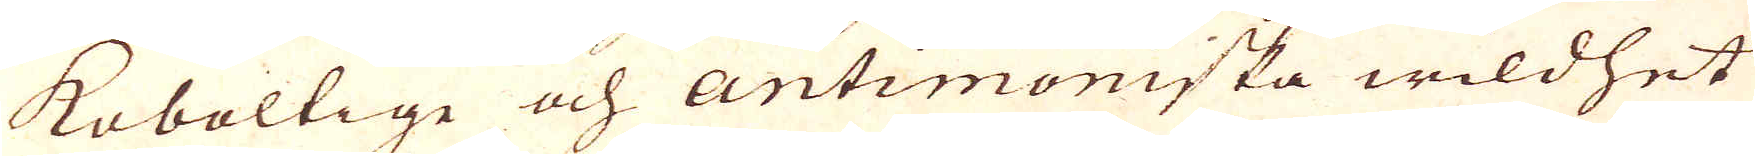Koboltige och Antimoniska wildhet
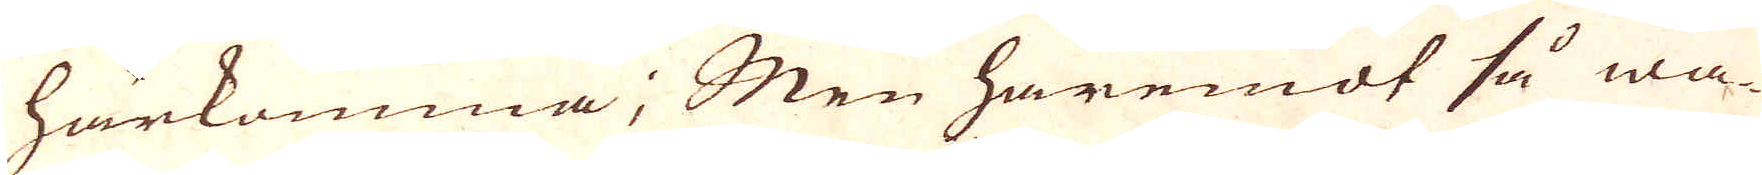härkomma; Men häremot så wa-
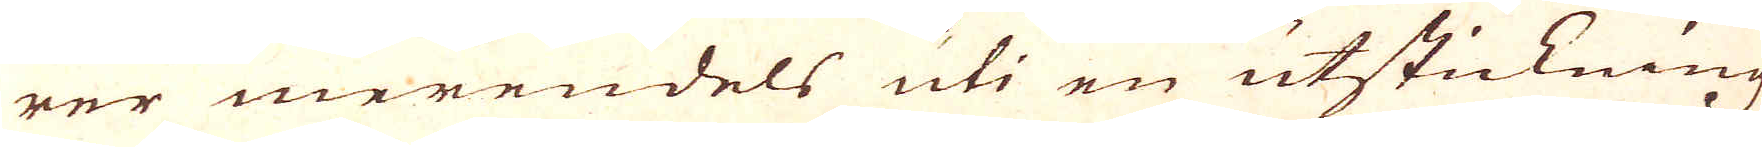rer merendels uti en utstickning
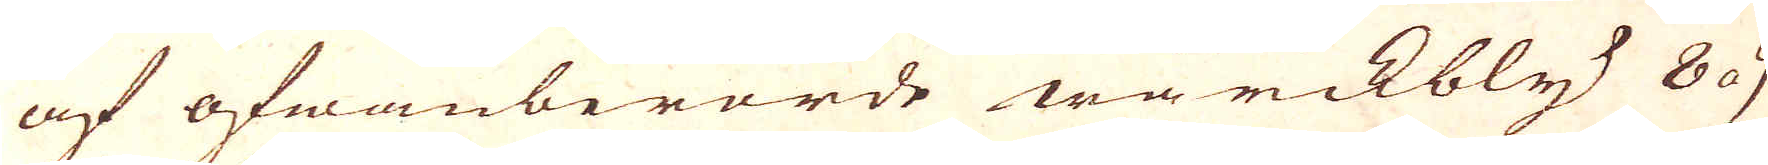af ofwanberörde wärckbly 8a 9
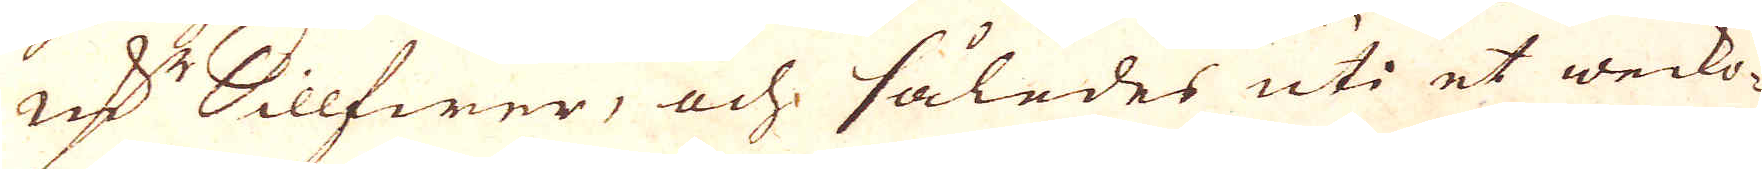qv:r Sillfwer, och således uti et wecko-
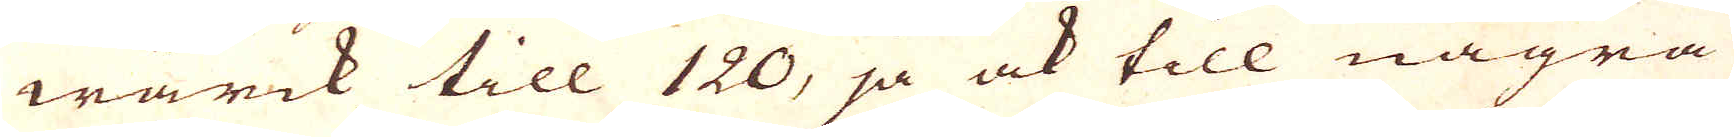wärck till 120, ja ock till några
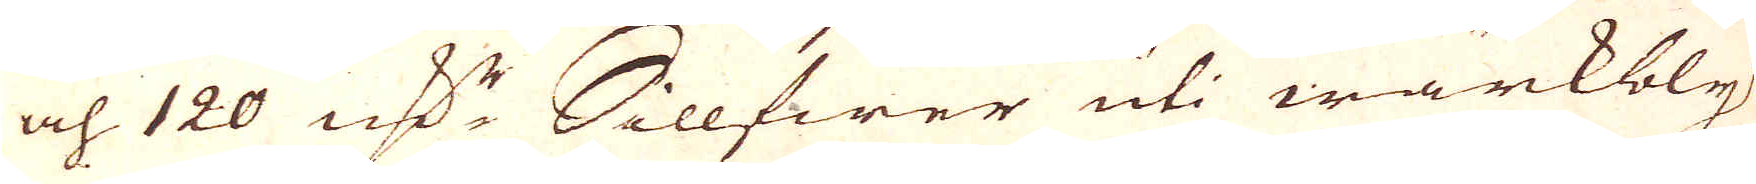och 120 qv:r Sillfwer uti wärkbly
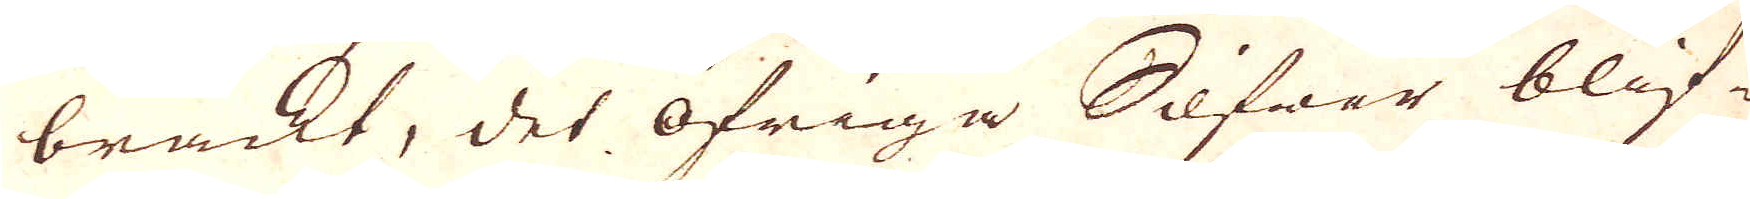brackt, det Öfriga Silfwer blif-
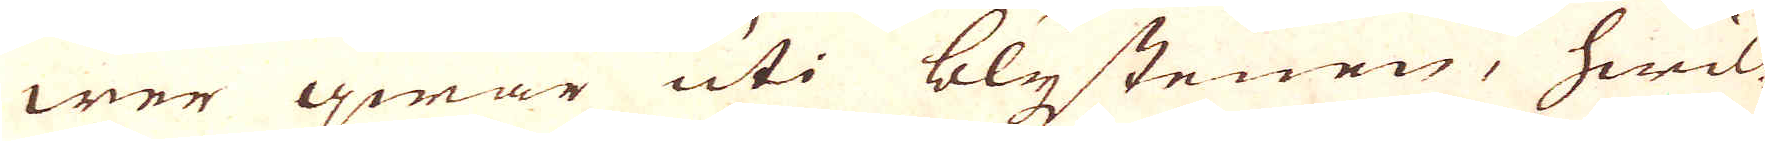wer qwar uti blystenen, hwil-
